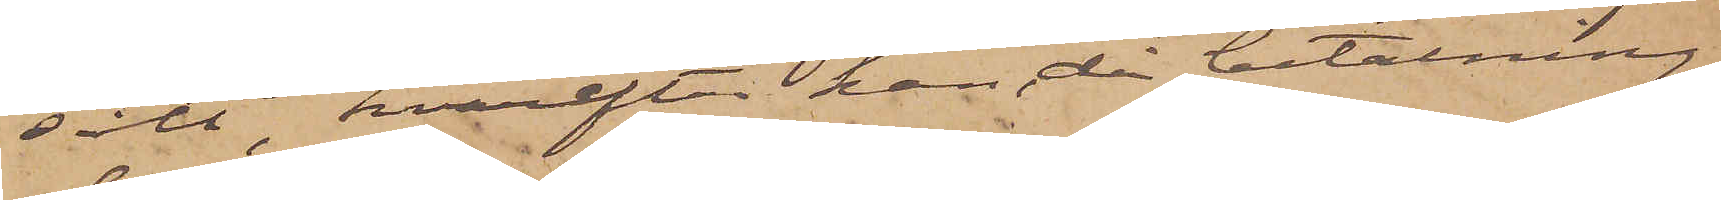sålt, hvarefter han då betalning
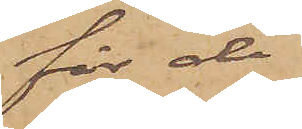för de
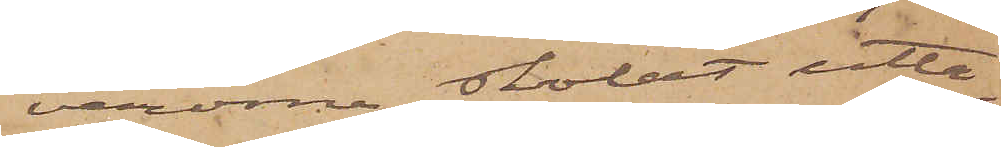varorna skolat utta¬
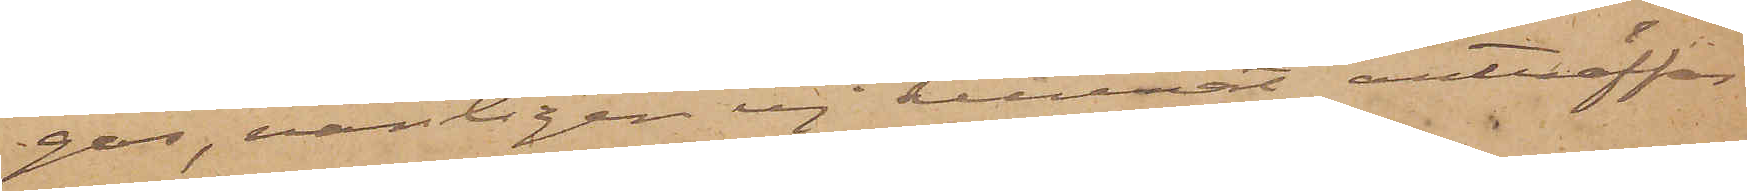gas, vanligen ej kunnat anträffas
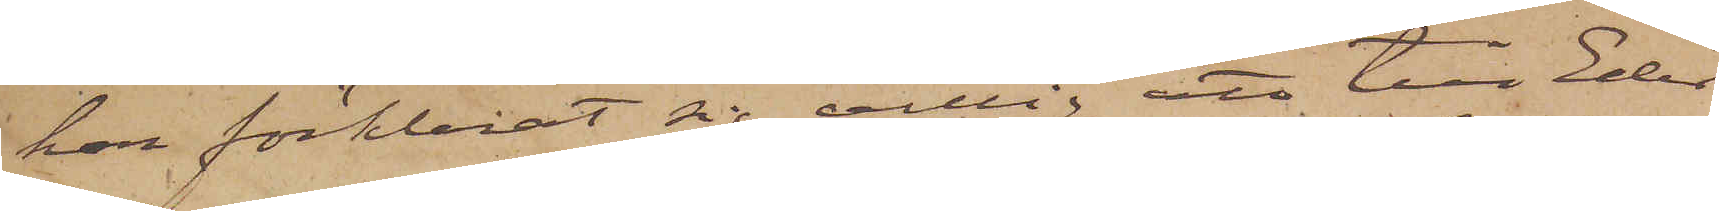har förklarat sig villig att till Eder
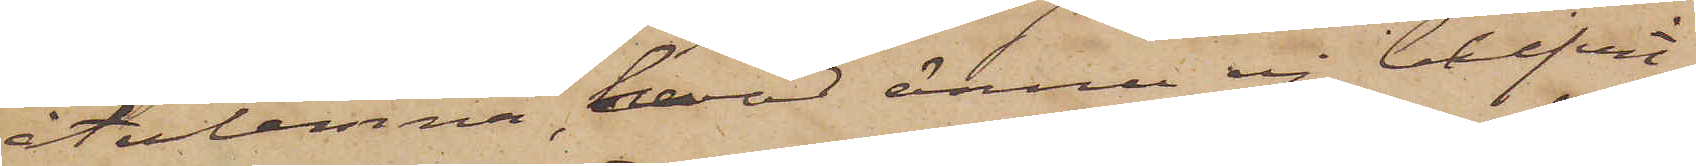återlemna, hvad ännu ej blifvit
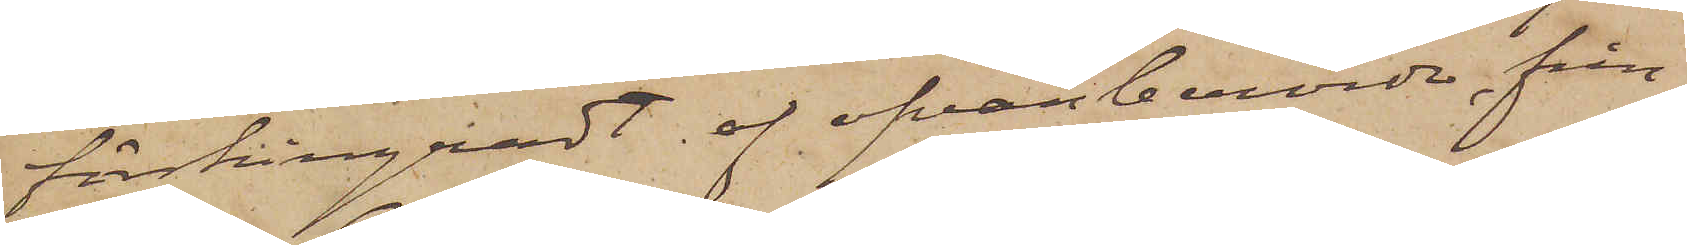förskingradt af ofvanberörde från
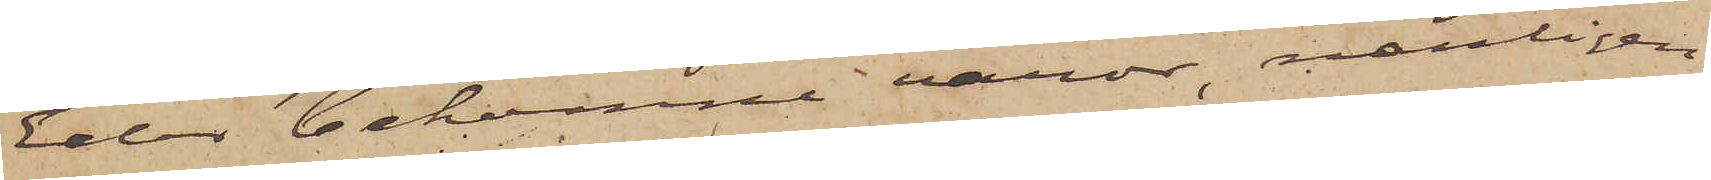Eder bekomne varor, nemligen
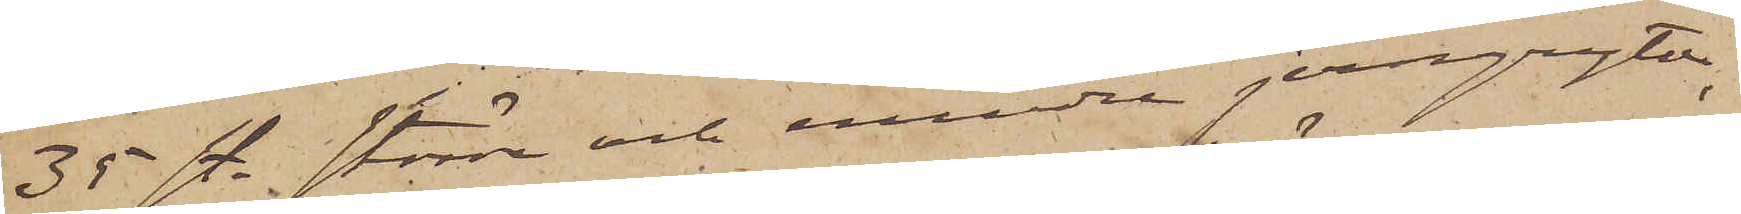35 st. större och mindre jerngrytor,
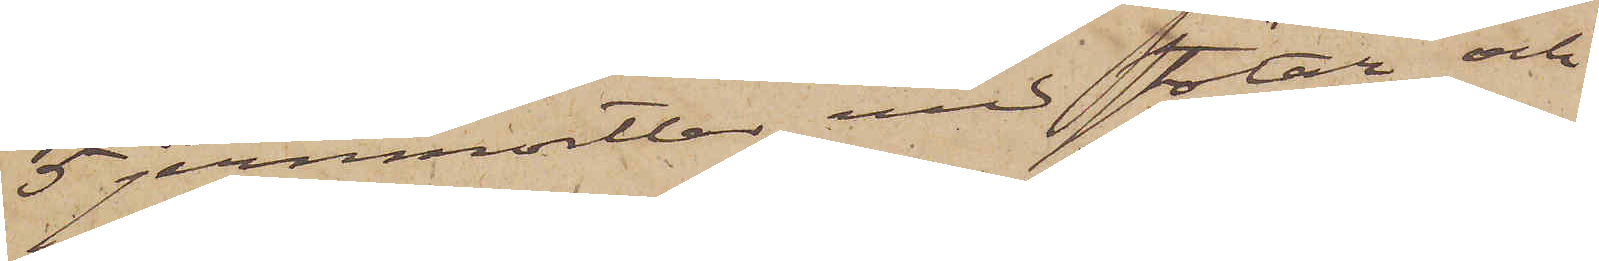5 jernmortlar med stötar och
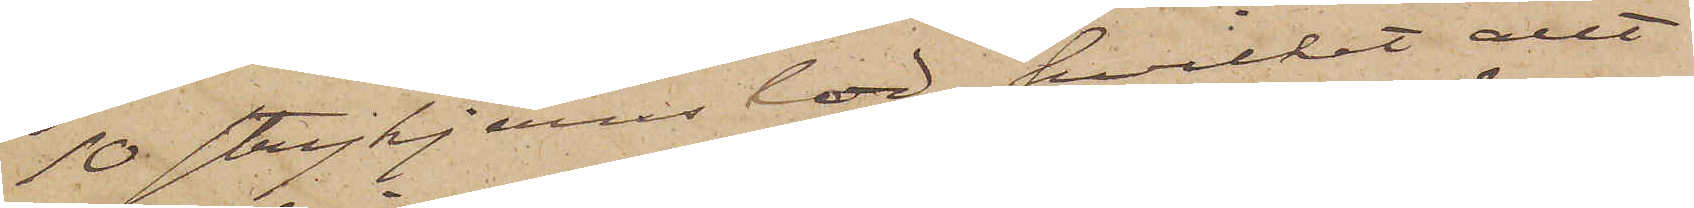10 strykjernslod, hvilket allt
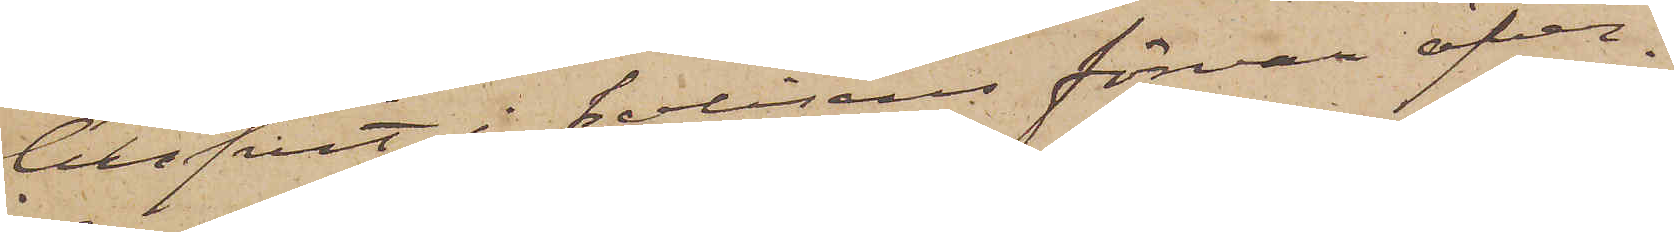blifvit i polisens förvar öfver¬
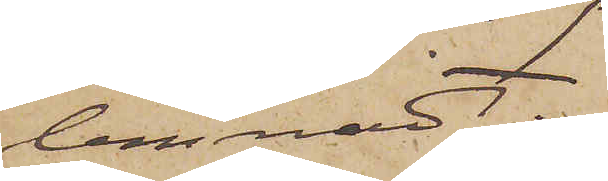lemnadt.
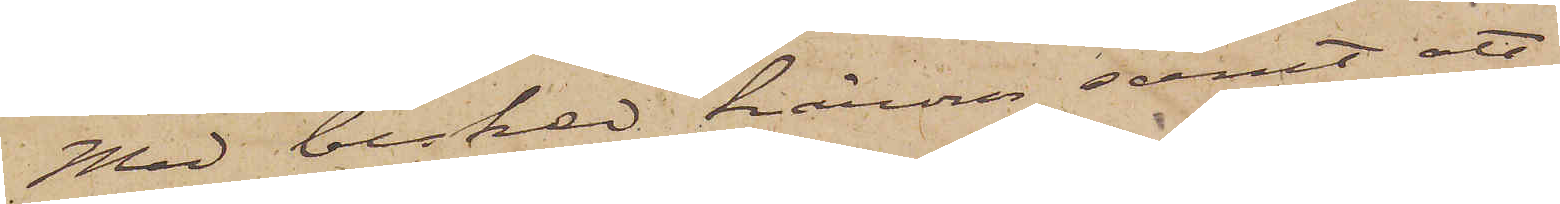Mad besked härom, samt att
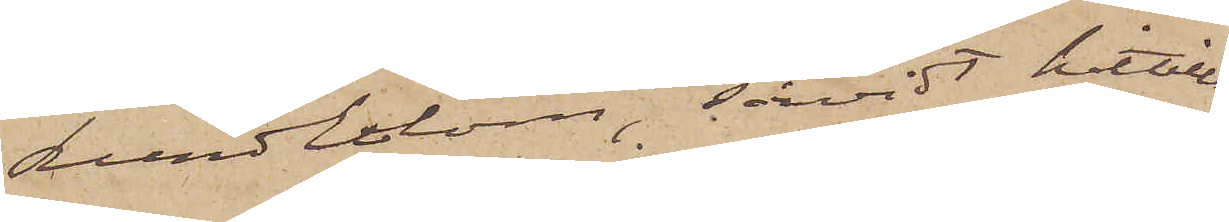Lundblom, såvidt hittills
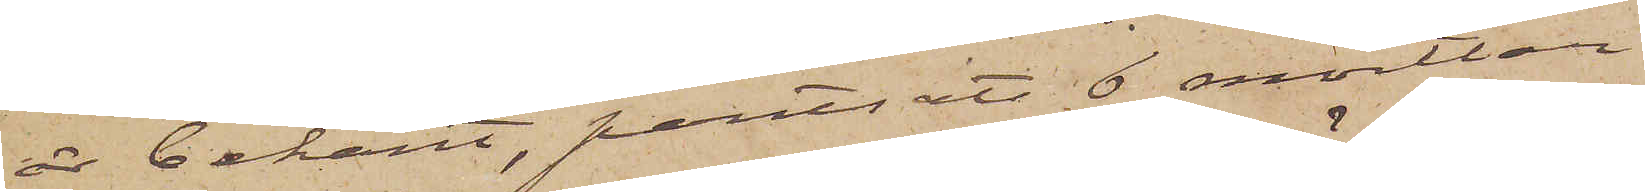är bekant, pantsatt 6 mortlar
